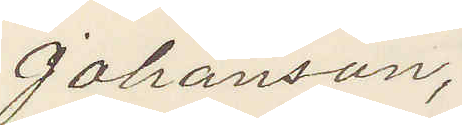Johansson,
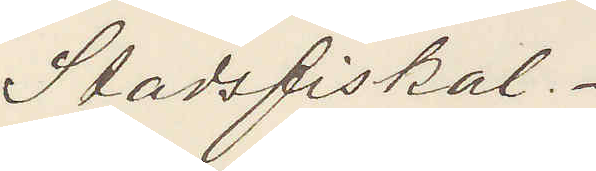Stadsfiskal.
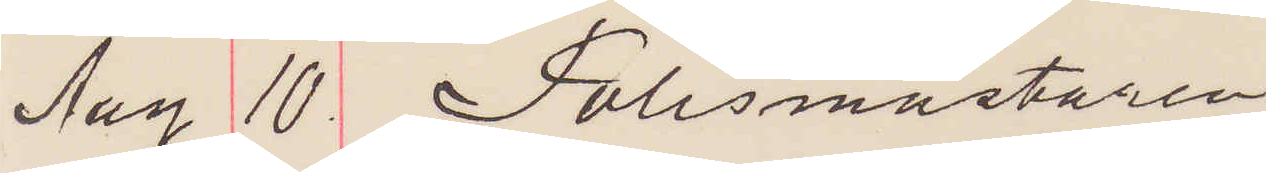Aug 10 Polismästaren
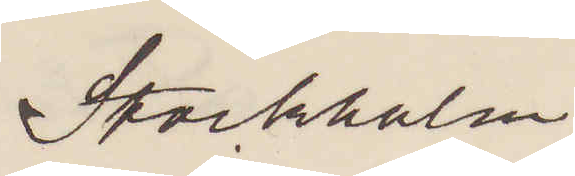Stockholm
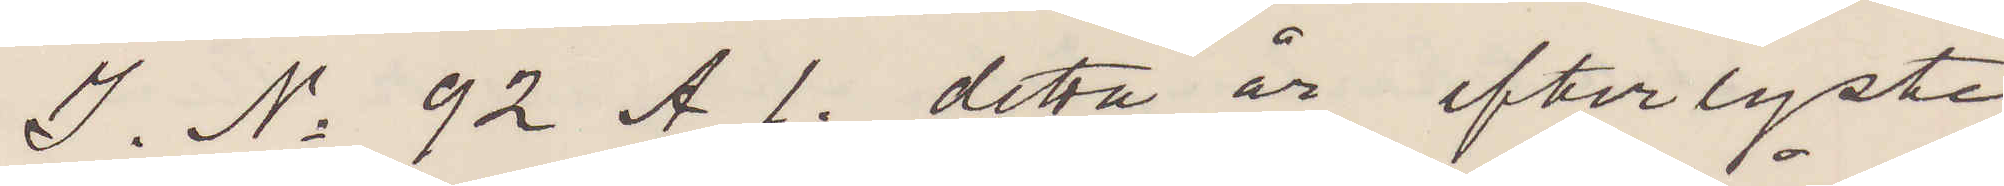I. No 92 A 1. detta år efterlyste
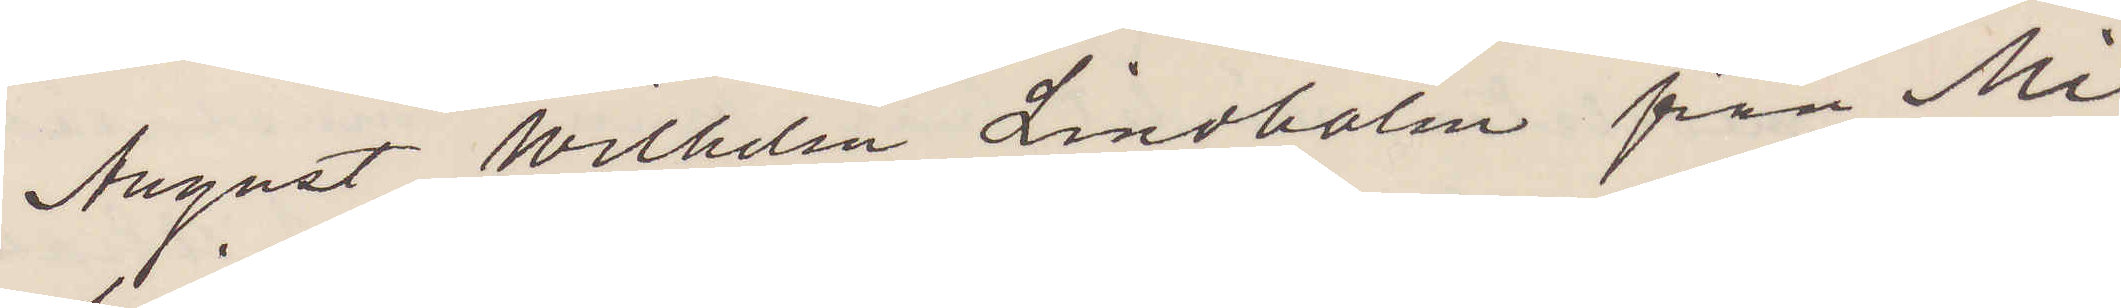August Wilhelm Lindholm från Mi¬
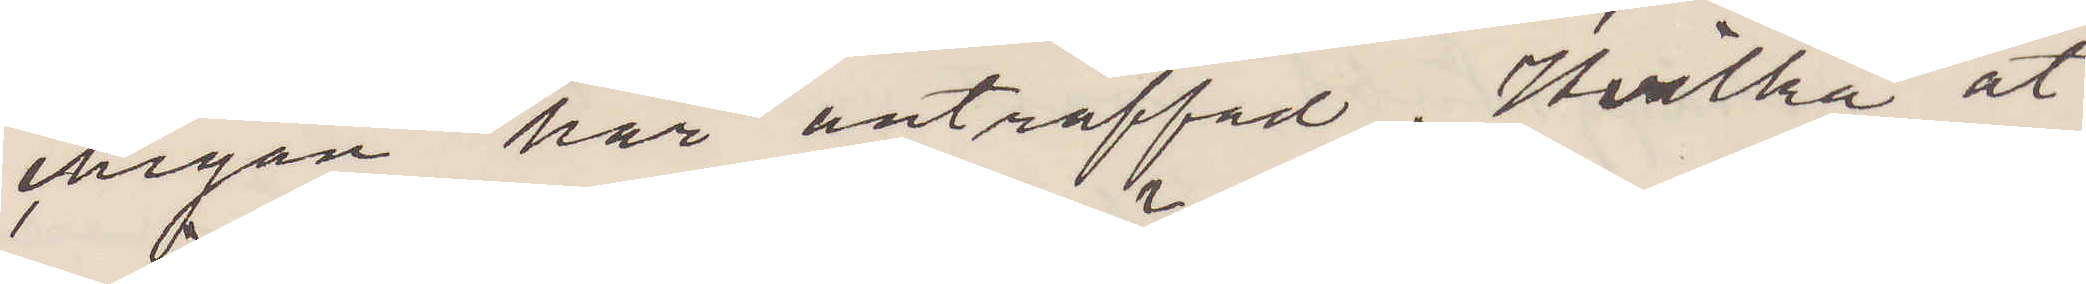chigan här anträffad. Hvilka åt¬
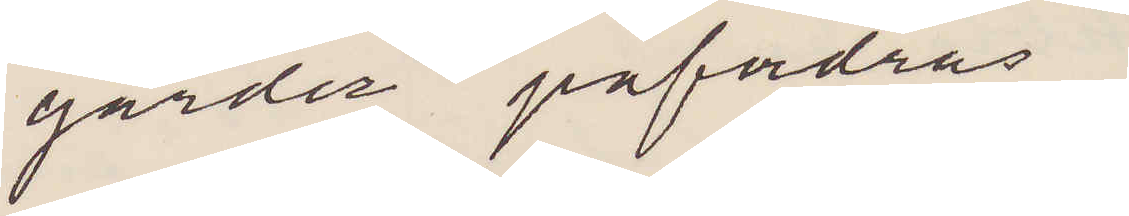gärder påfodras?
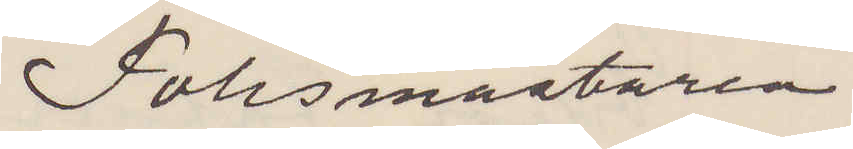Polismästaren.
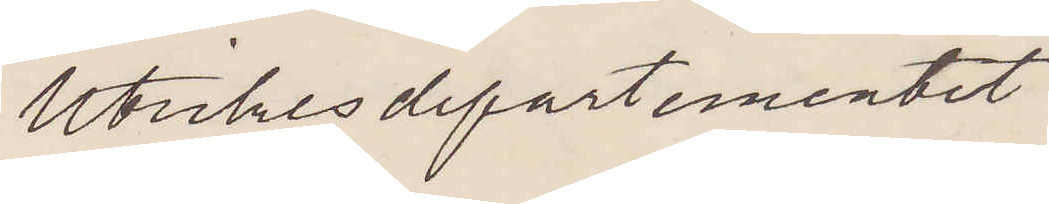Utrikesdepartementet.
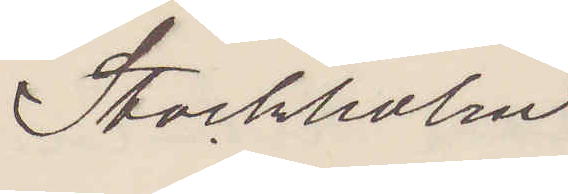Stockholm
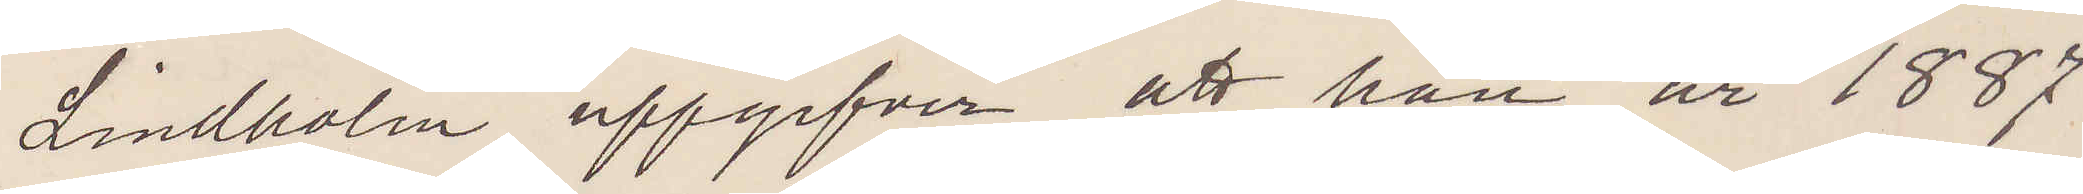Lindholm uppgifver att han år 1887
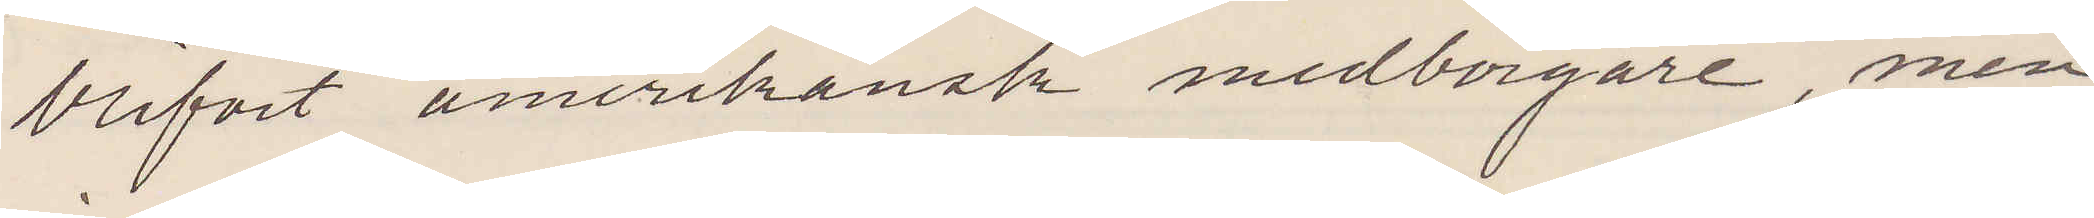blifvit amerikansk medborgare, men
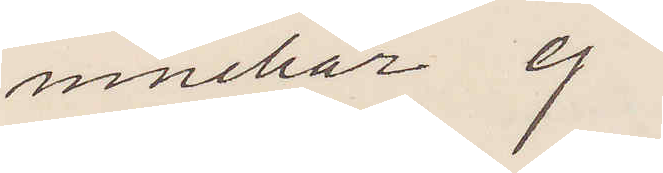innehar ej
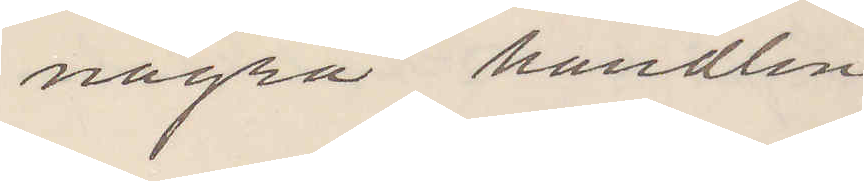några handlin¬
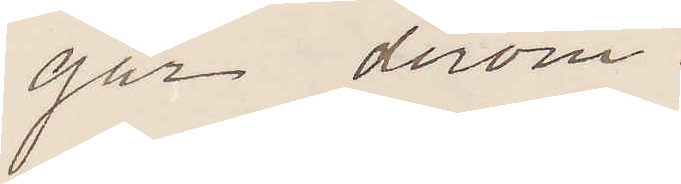gar derom
